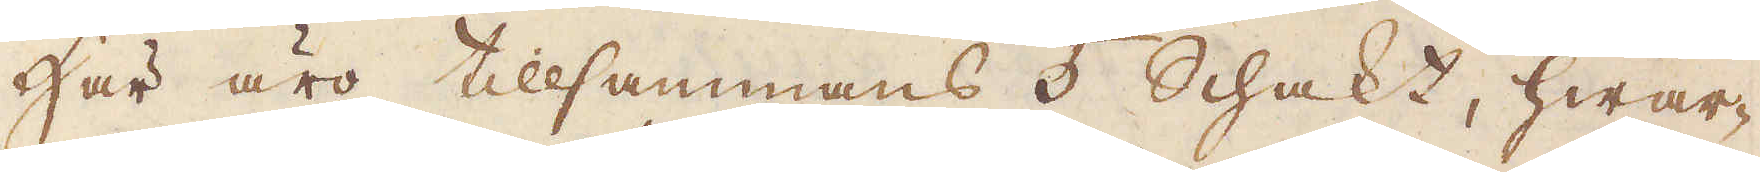Här äro tillsammans 5 Schakt, hwar-
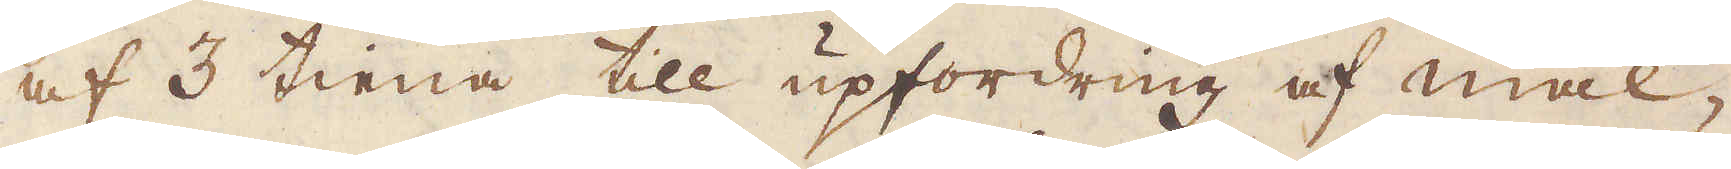af 3 tiena till upfordring af mal-
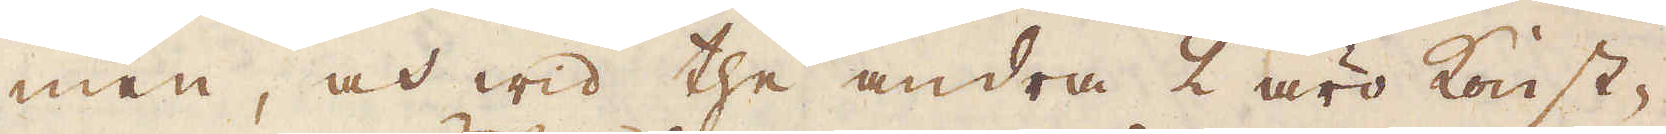men, och wid the andra 2 äro konst-
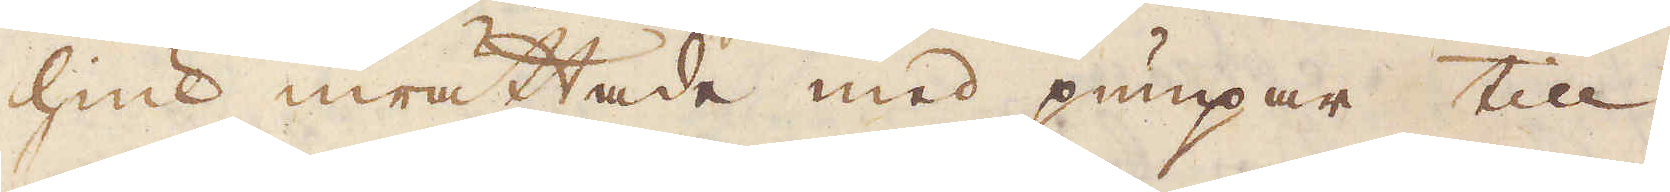hiul inrättade med pumpar till
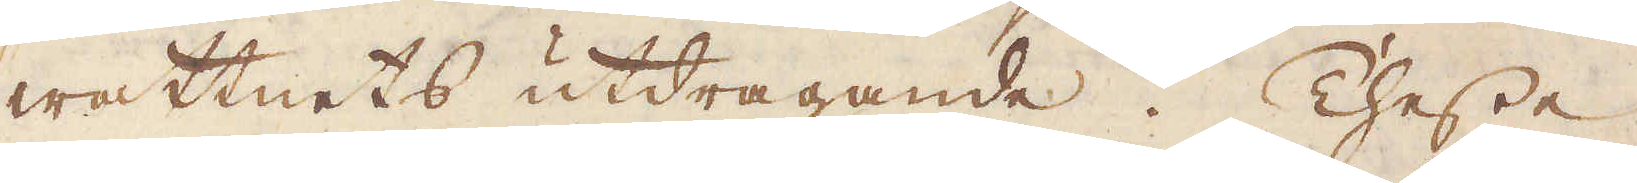wattnets utdragande. Thesse
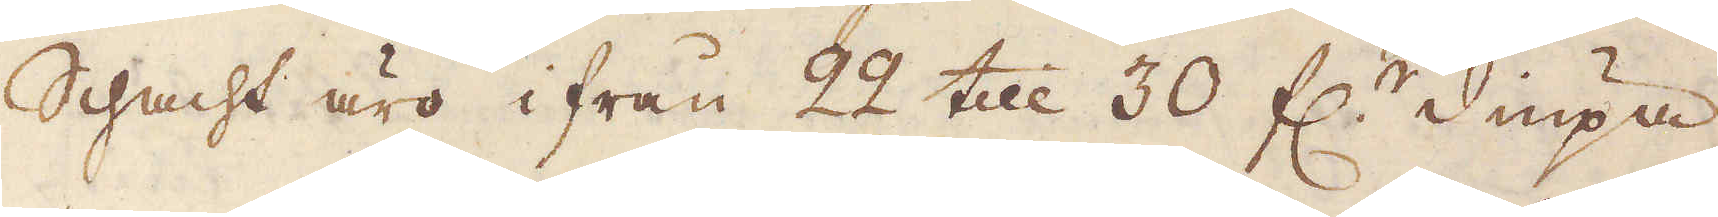Schacht äro ifrån 22 till 30 f:r diupa
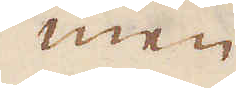men
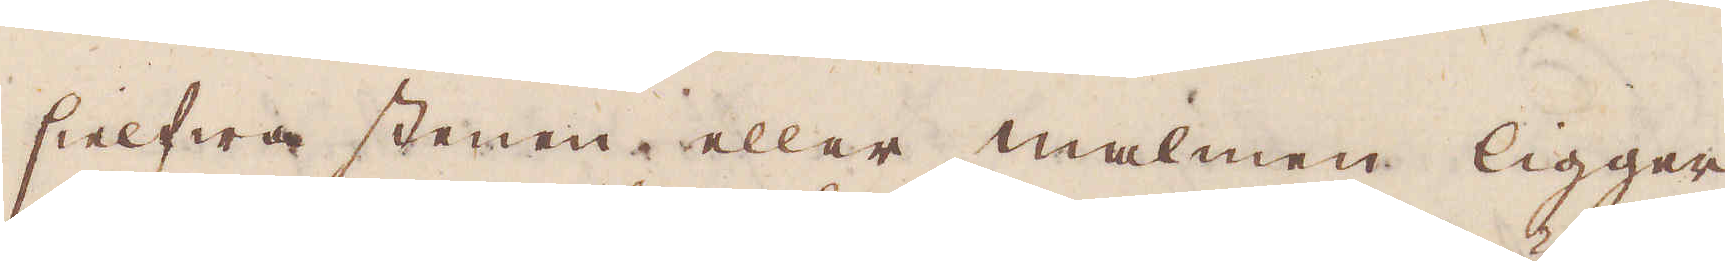sielfwa stenen eller malmen ligger
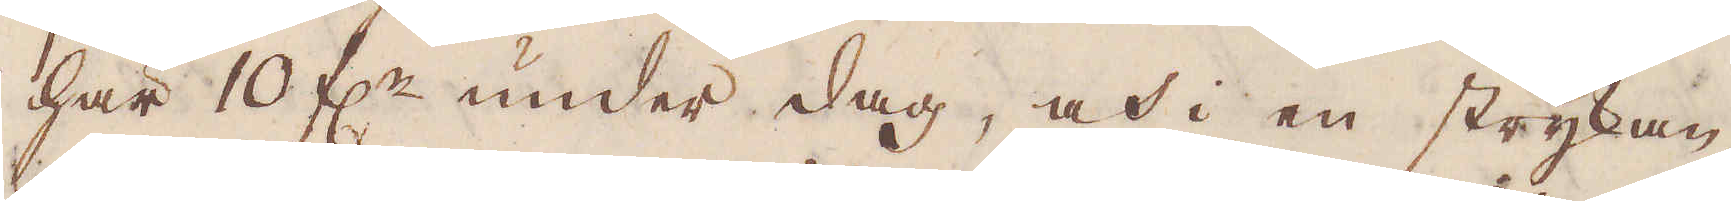här 10 f:r under dag, och i en strykan-
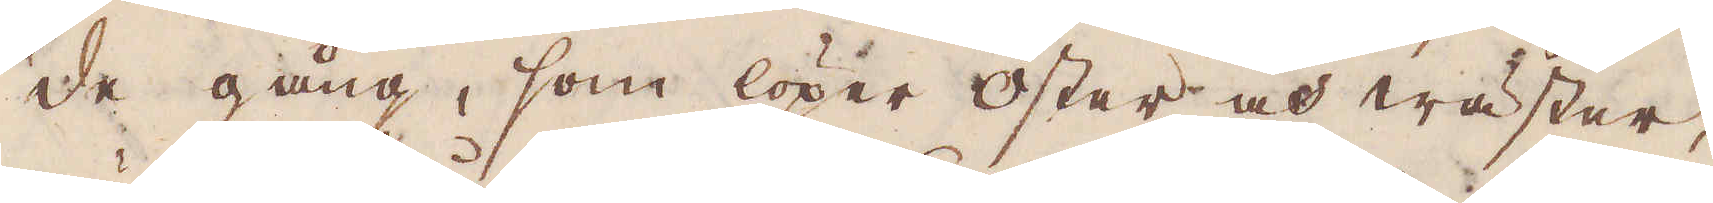de gång, som löper öster och wäster,
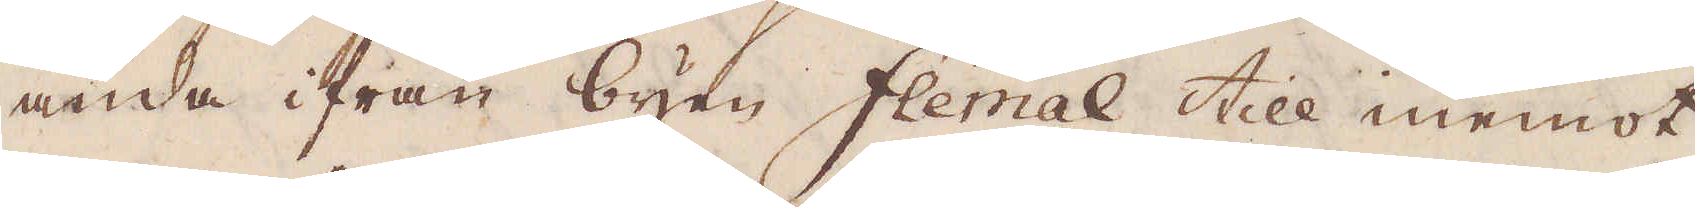ända ifrån byen Flemal till inemot
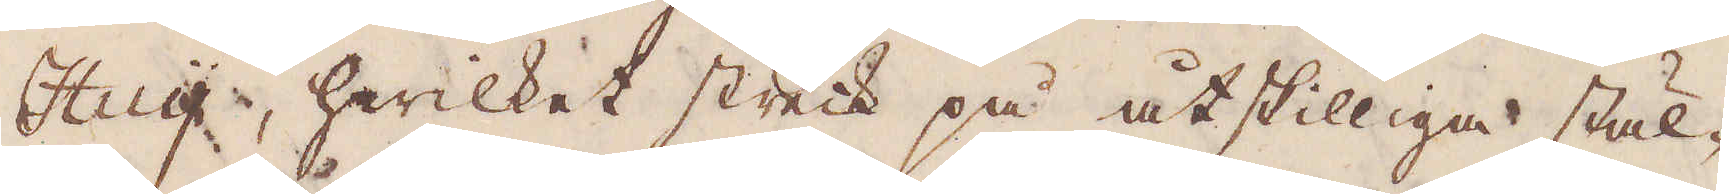Huy, hwilket streck på åtskilliga stäl-
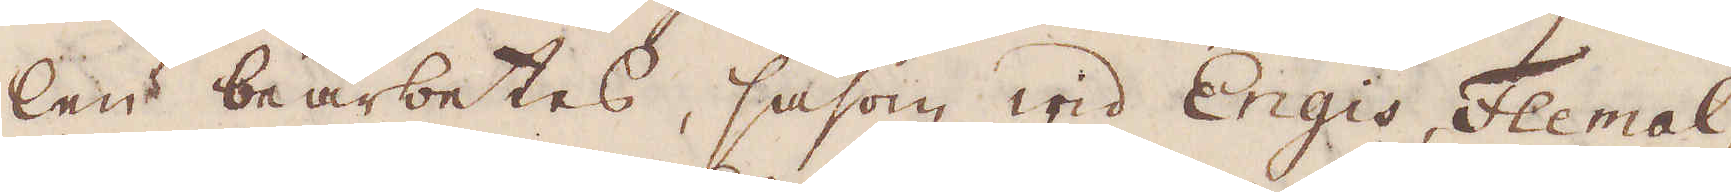len bearbetas, såsom wid Engis, Flemal,
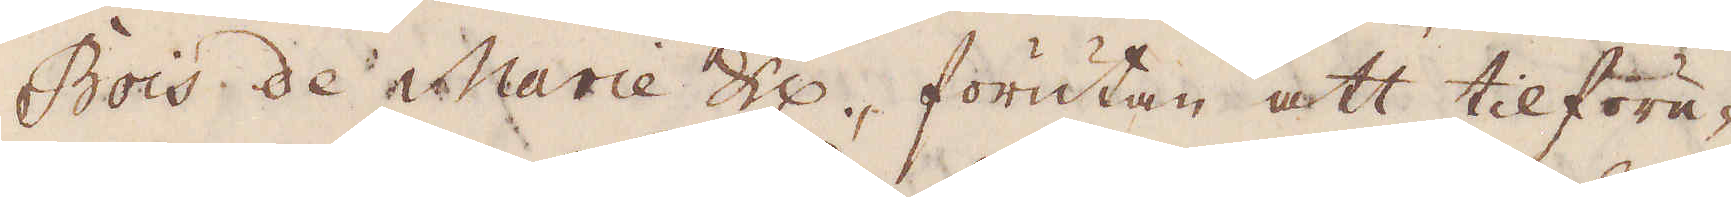Bois de Marie &c, förutan att tillföre-
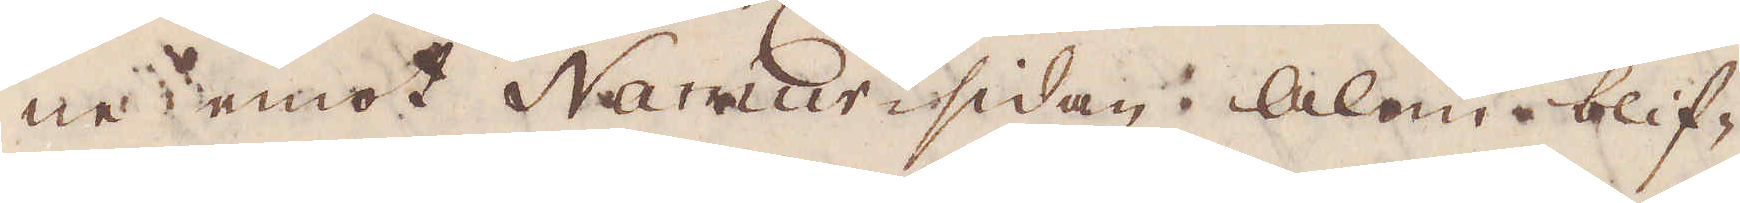ne emot Namur-sidan Alun blif-
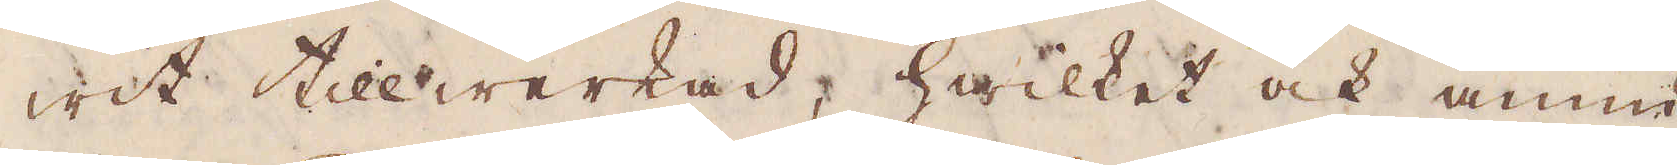wit tillwerkad, hwilket ock ännu
